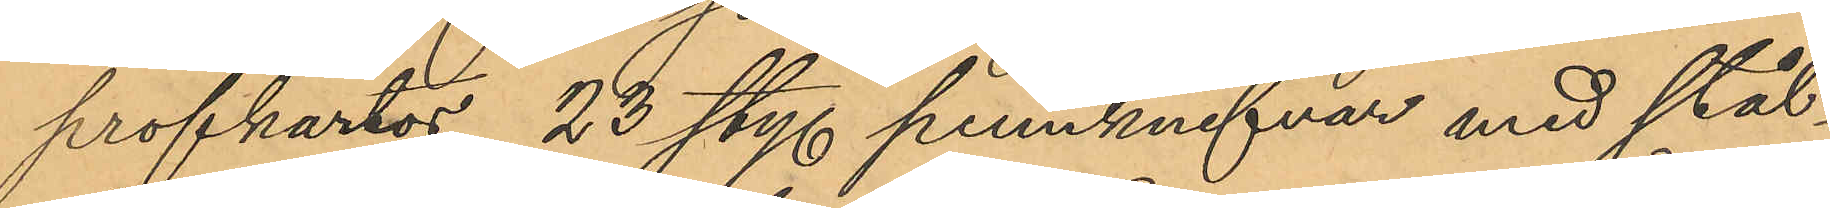profkartor, 23 sty. pennknifvar med stål¬
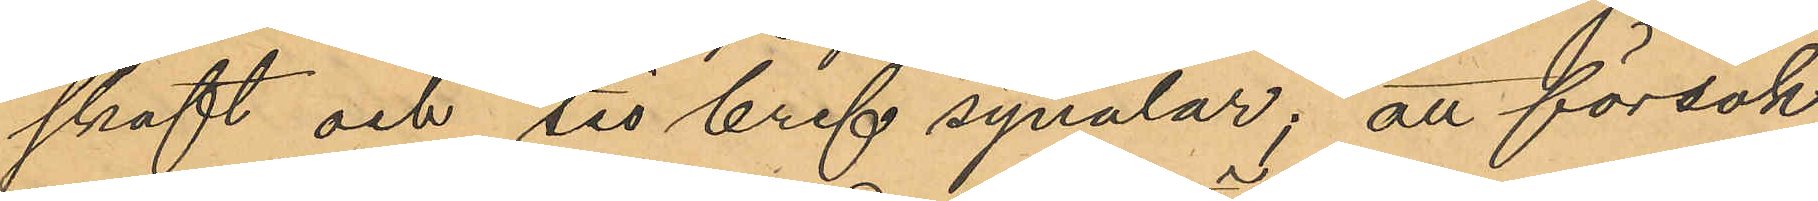skaft och tio bref synålar, att försök
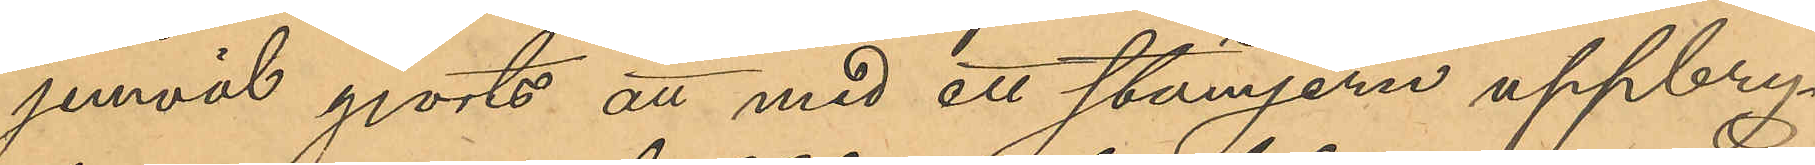jemväl gjorts att med ett stämjern uppbry¬
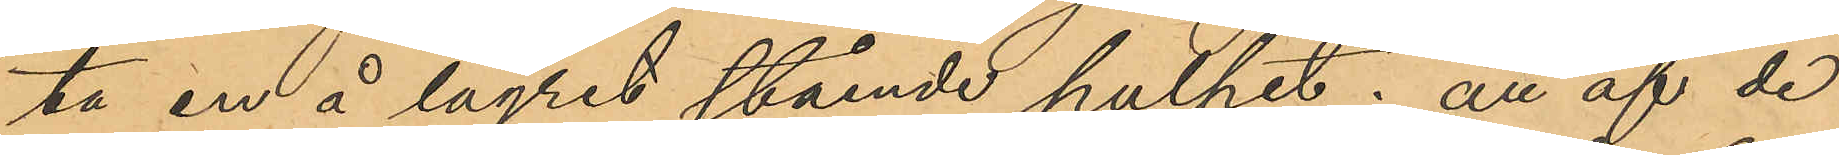ta en å lagret stående pulpet; att af de
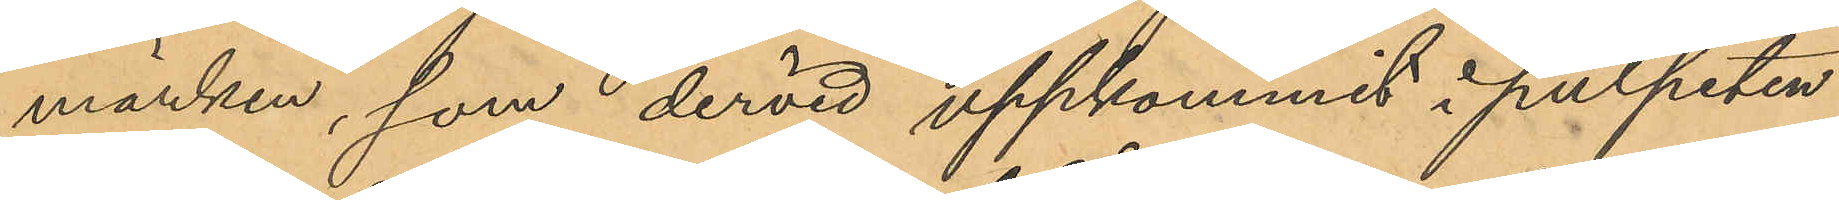märken, som dervid uppkommit i pulpeten
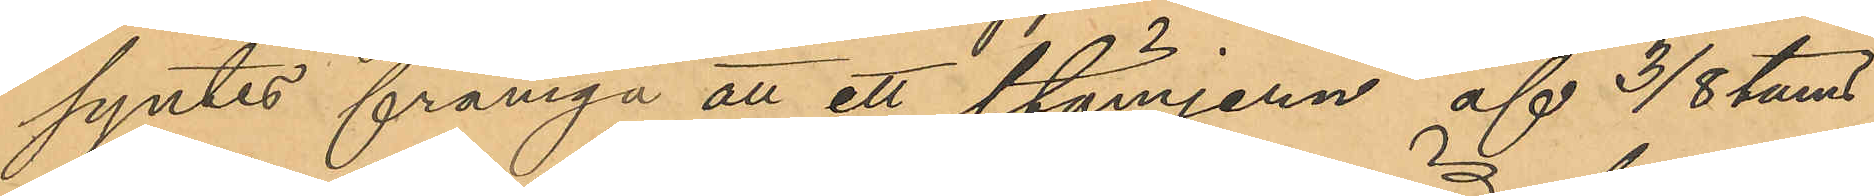syntes framgå att ett stämjern af 3/8 tums
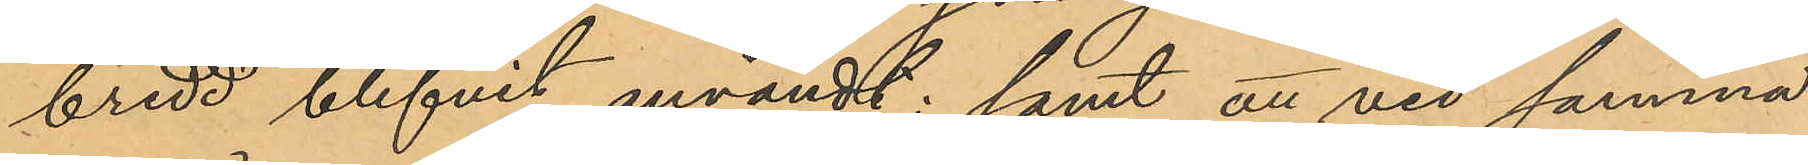bredd blifvit användt; samt att vid samma
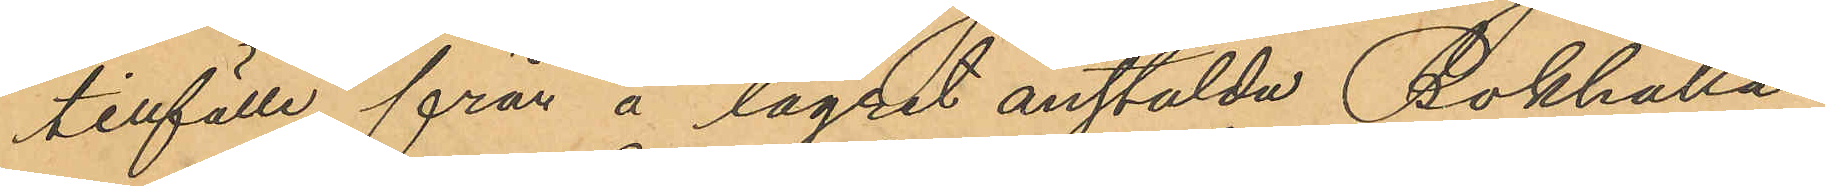tillfälle från å lagret anstälda Bokhålla¬
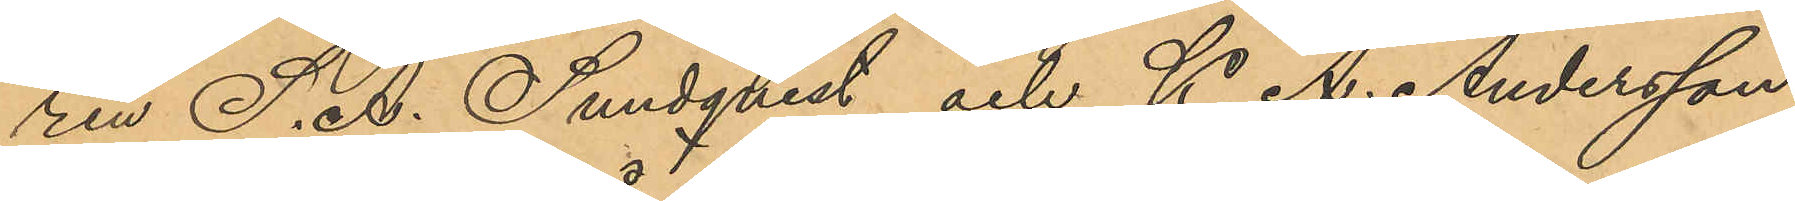ren S. A. Sundqvist och K. A. Andersson
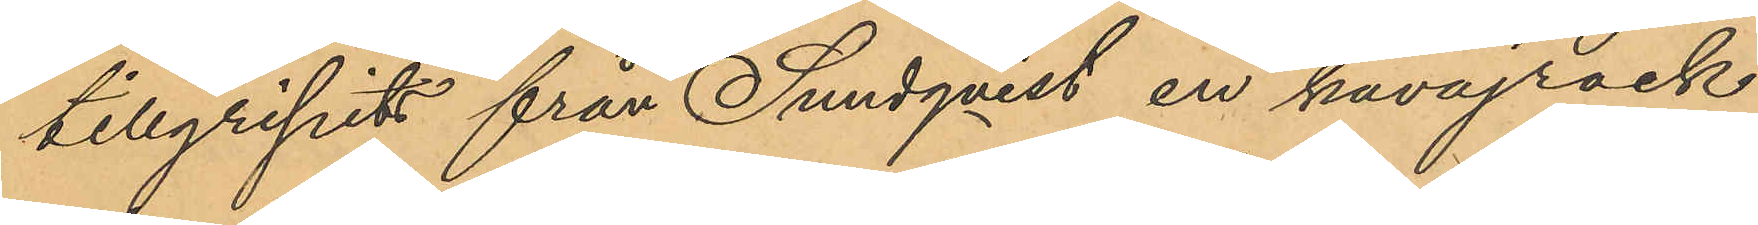tillgripits från Sundqvist en kavajrock
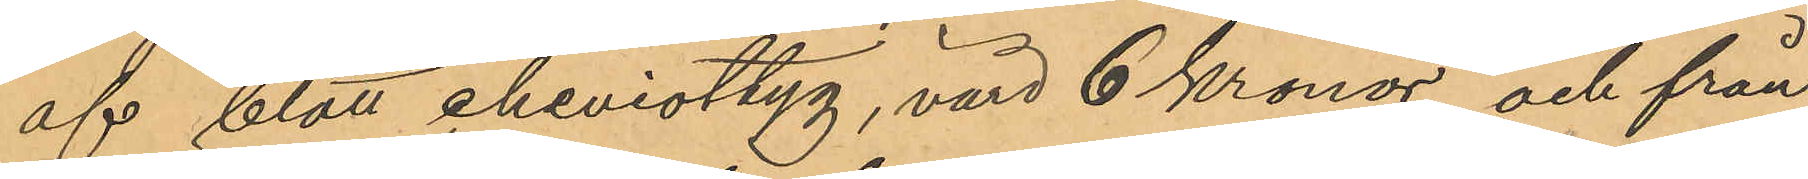af blått cheviottyg, värd 6 Kronor och från
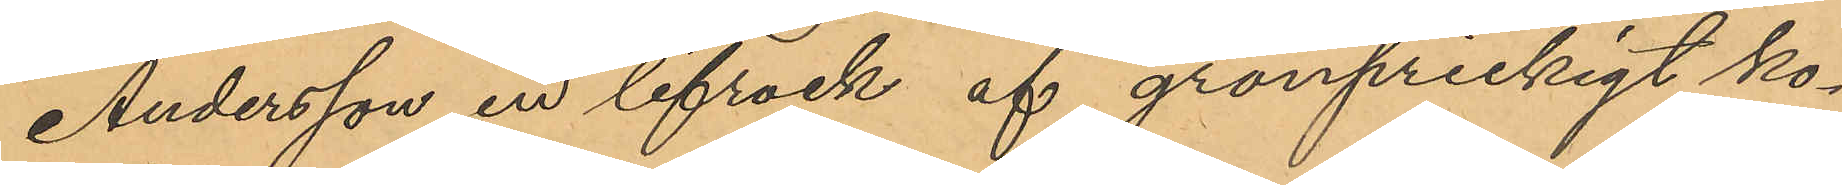Andersson en lifrock af grönprickigt ko¬
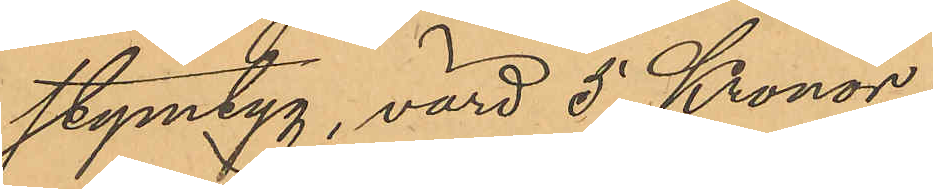stymtyg, värd 5 Kronor.
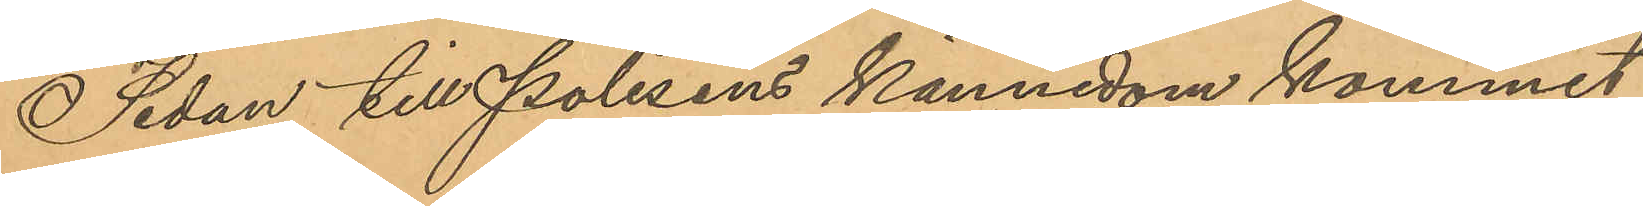Sedan till Polisens kännedom kommit
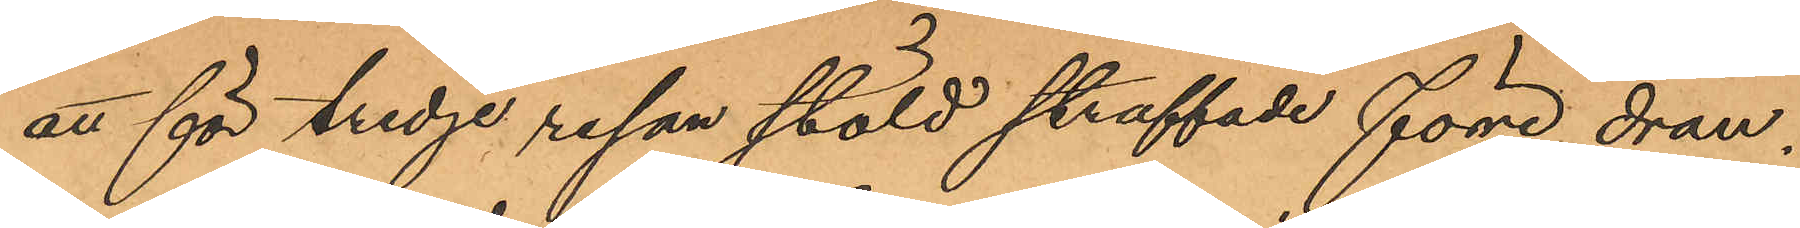att för tredje resan stöld straffade förre drän¬
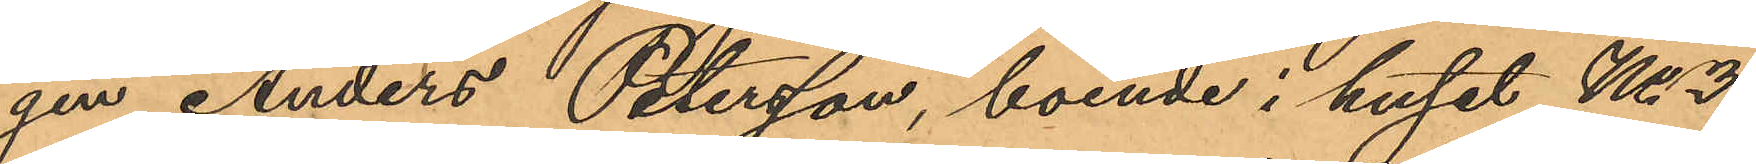gen Anders Petersson, boende i huset No 3
